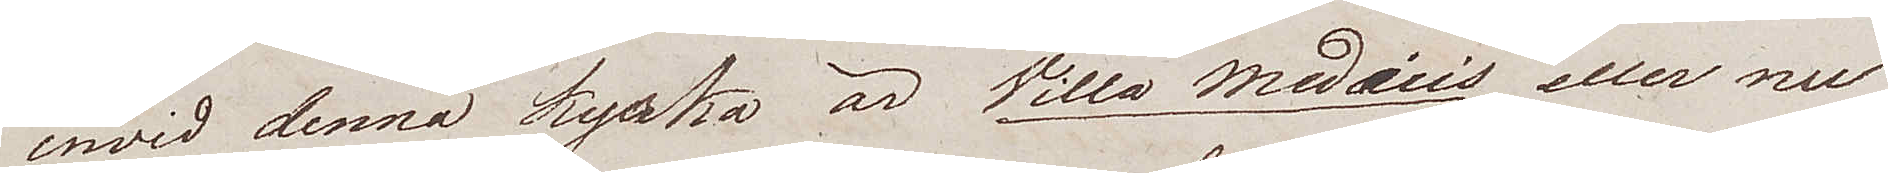invid denna kyrka är Villa Medicis eller nu¬
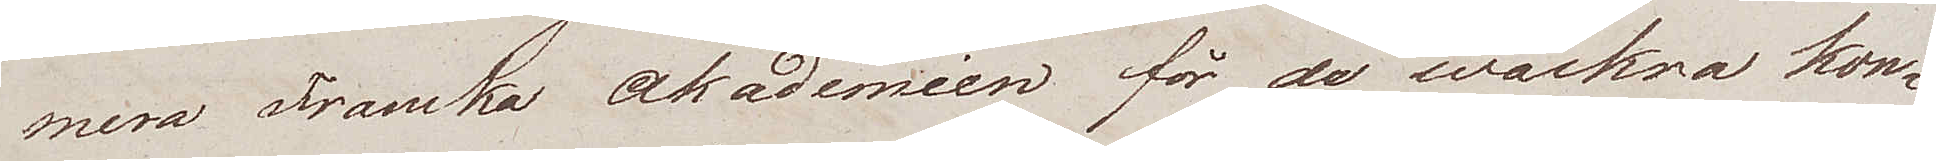mera Franska Akademien för de wackra kon¬
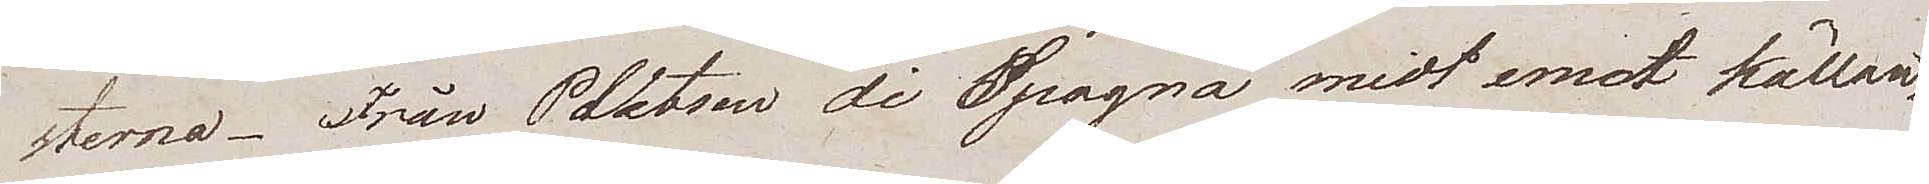sterna. Från Platsen di Spagna midt emot källan,
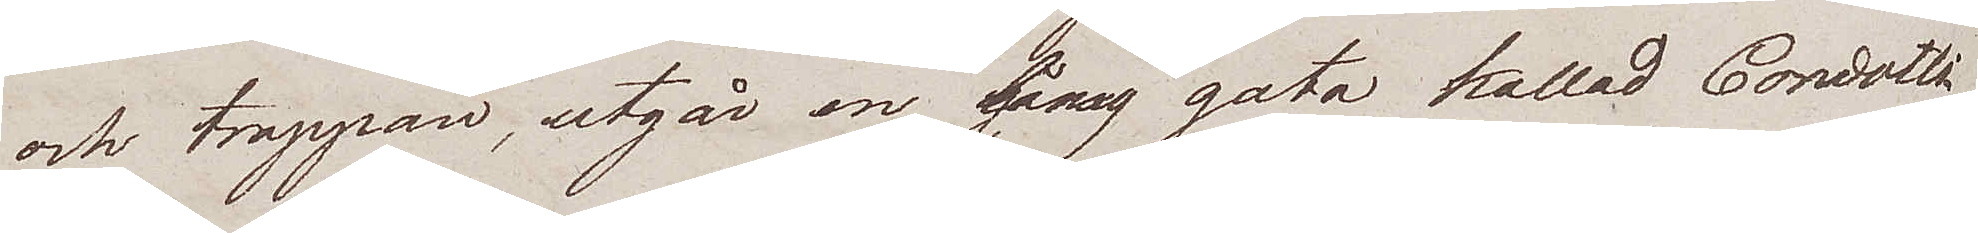och trappan, utgår en lång gata kallad Condotti
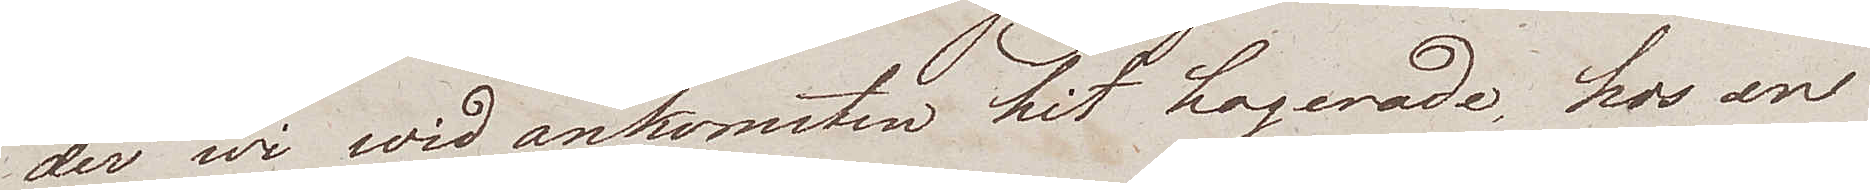der wi wid ankomsten hit logerade, hos en
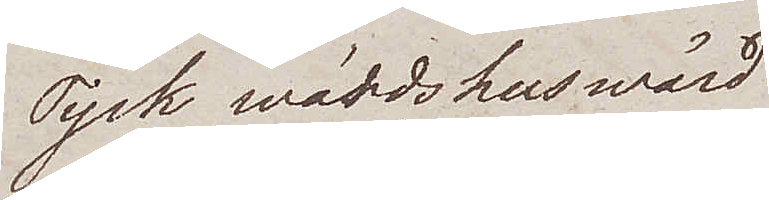Tysk wärdshuswärd
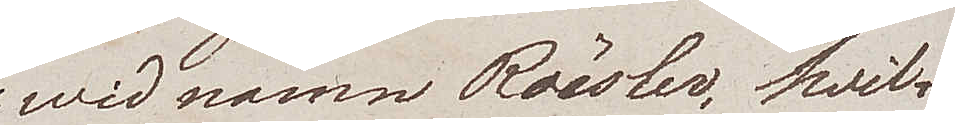wid namn Röesler, hvil¬
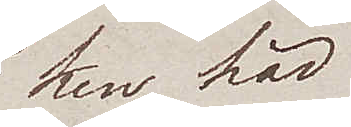ken här
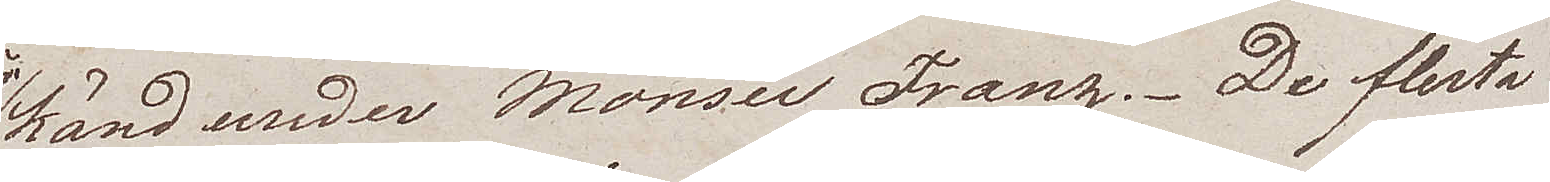känd under Monser Franz. De flesta
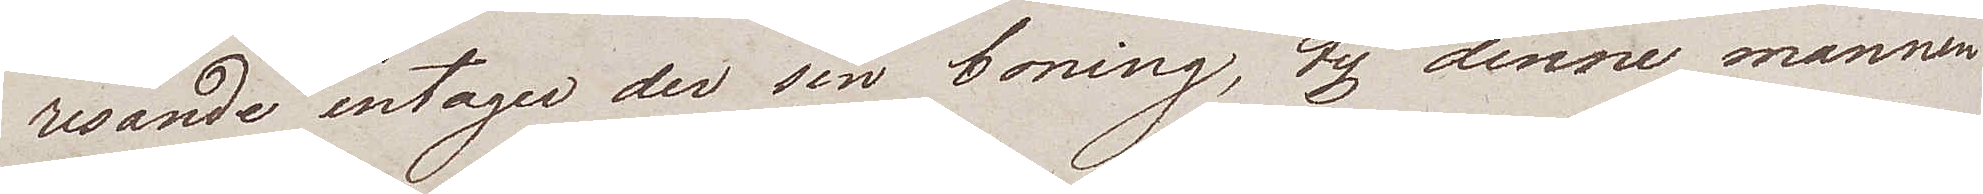resande intager der sin boning, ty denne mannen
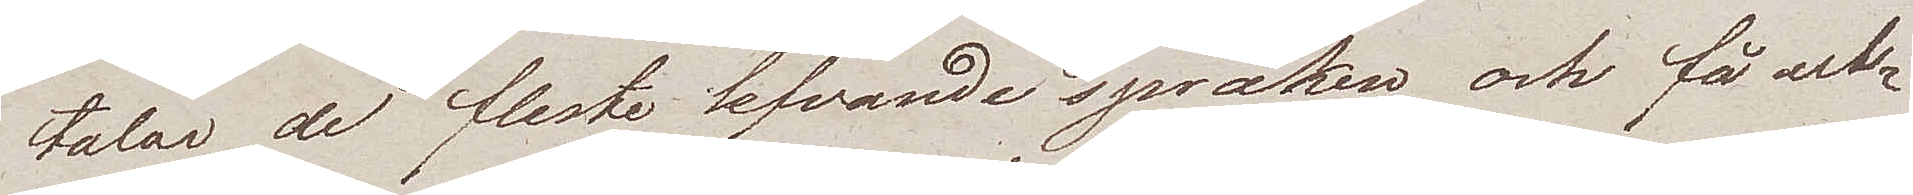talar de fleste lefvande språken och få ut¬
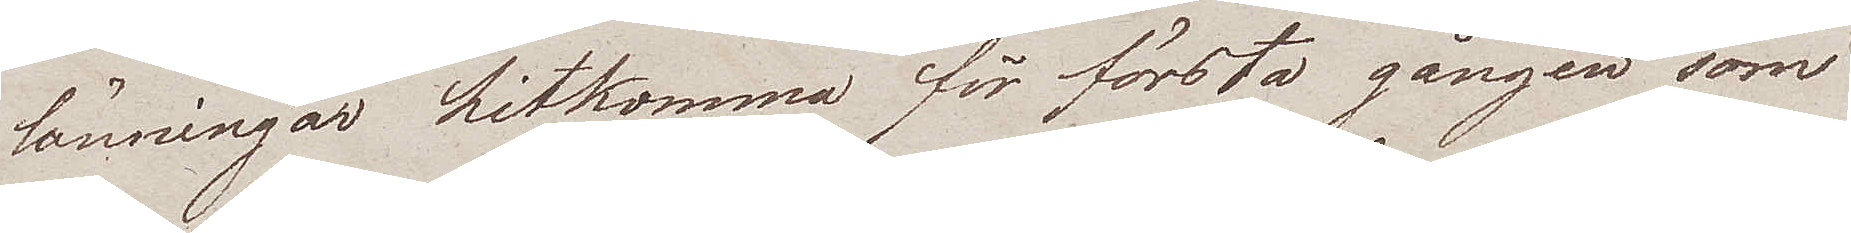länningar hitkomma för första gången som
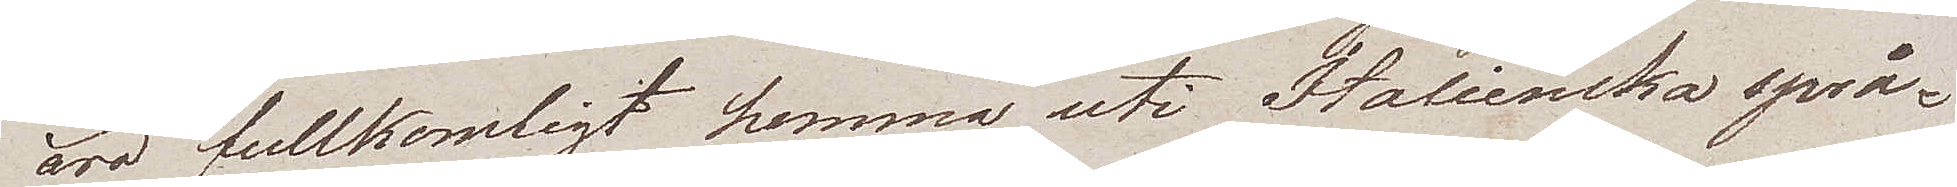äro fullkomligt hemma uti Italienska språ¬
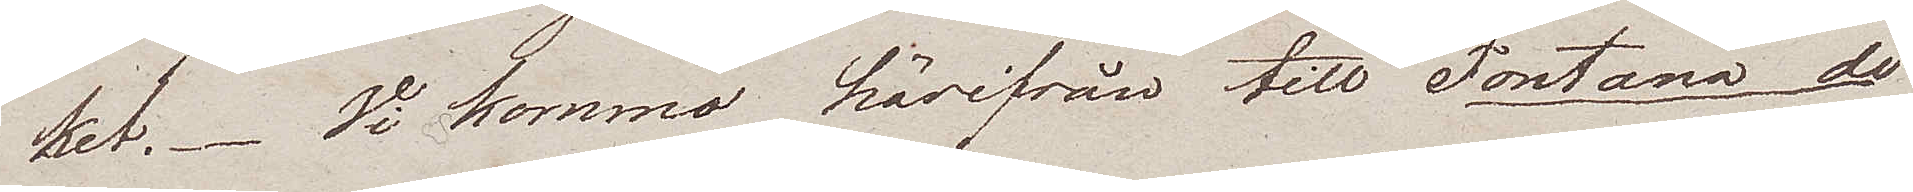ket. Vi kommo härifrån till Fontana di
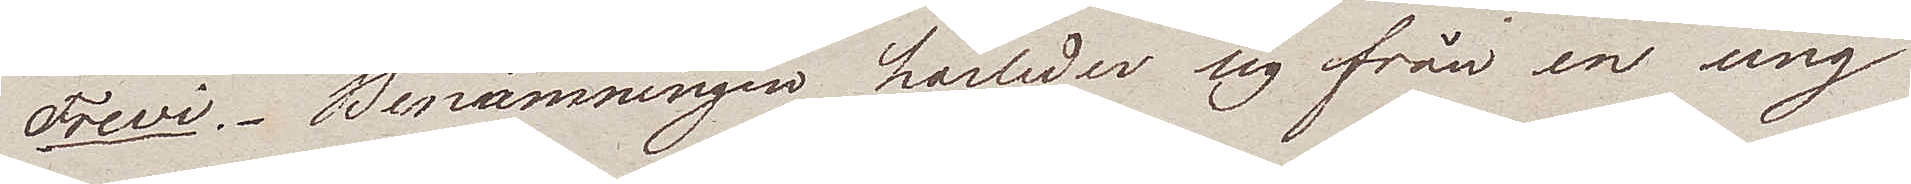Trevi. Benämningen härleder sig från en ung
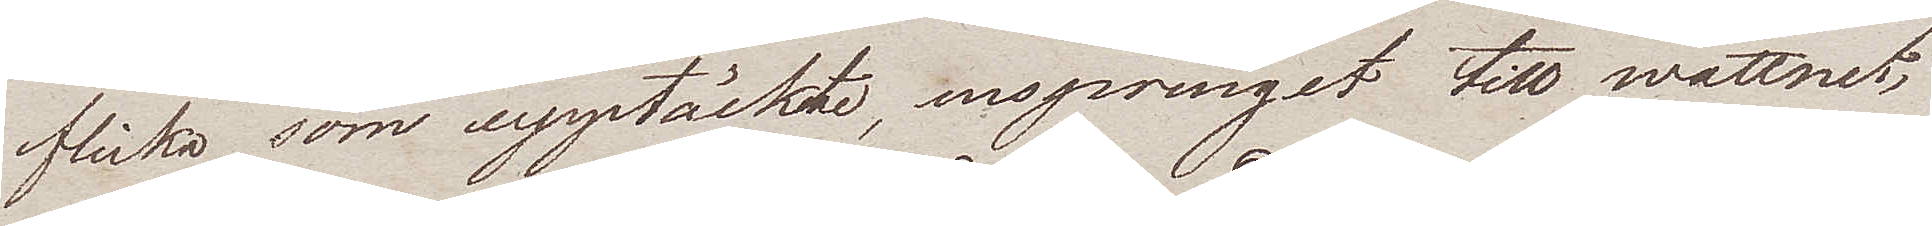flicka som upptäckte, ursprunget till wattnet,
